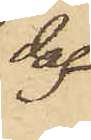dag
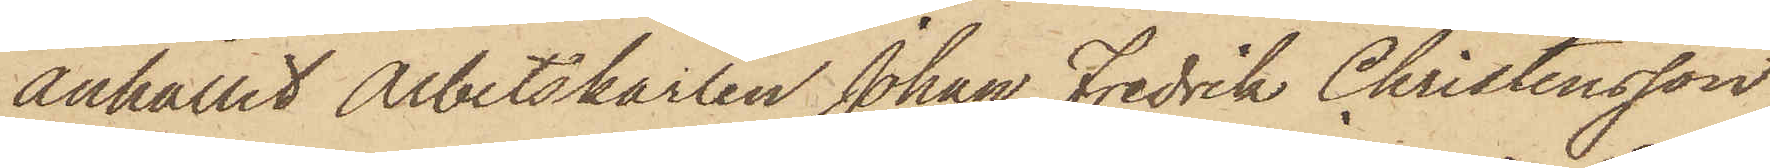anhållit Arbetskarlen Johan Fredrik Christensson,
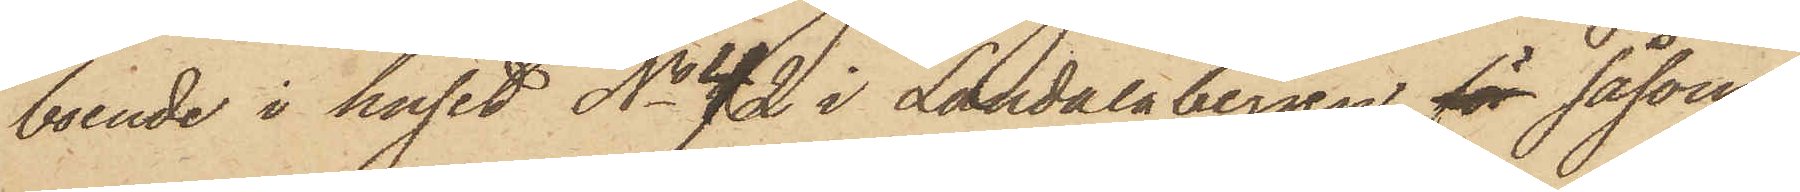boende i huset No 42 i Landalabergen, för såsom
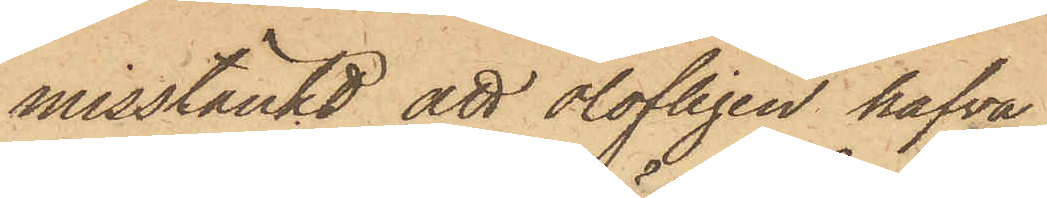misstänkt att olofligen hafva
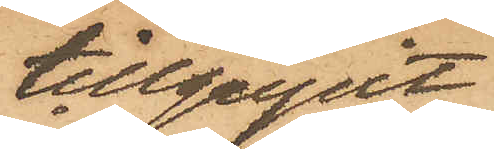tillgripit
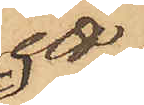ett
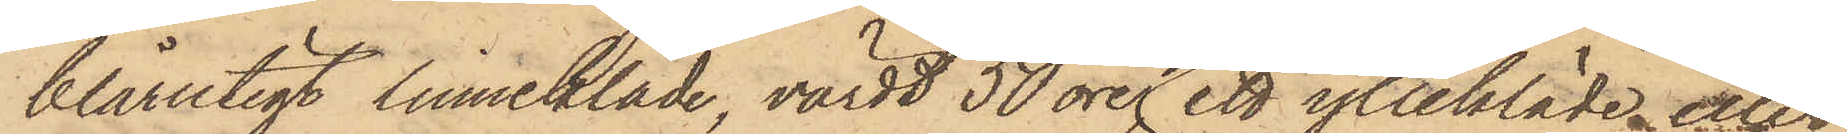blårutigt linnekläde, värdt 50 öre, ett yllekläde eller
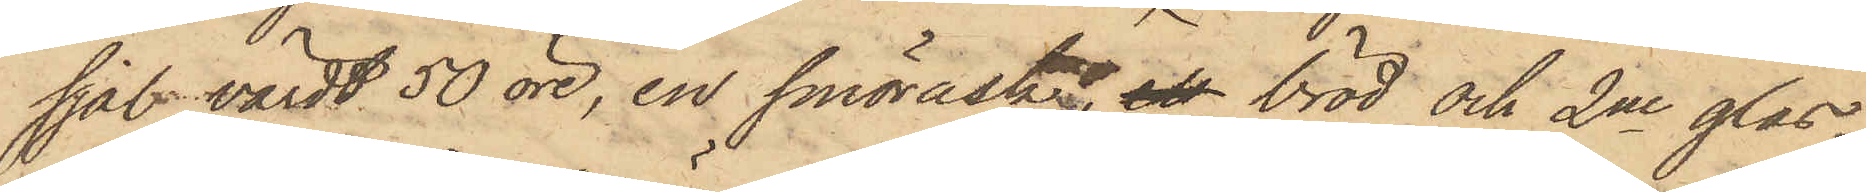sjal, värdt 50 öre, en smörask, ett bröd och 2ne glas¬
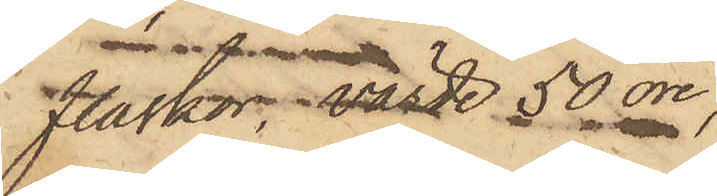flaskor, värde 50 öre,
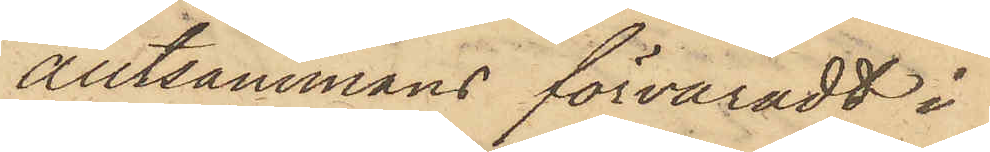alltsammans förvaradt i
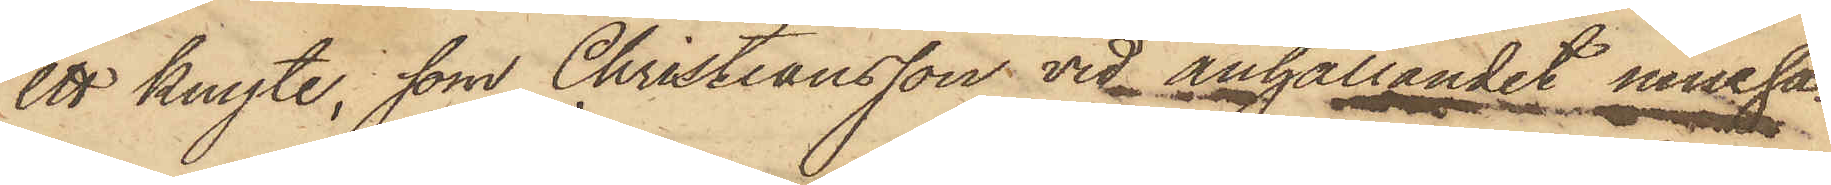ett knyte, som Christiansson vid anhållandet inneha¬
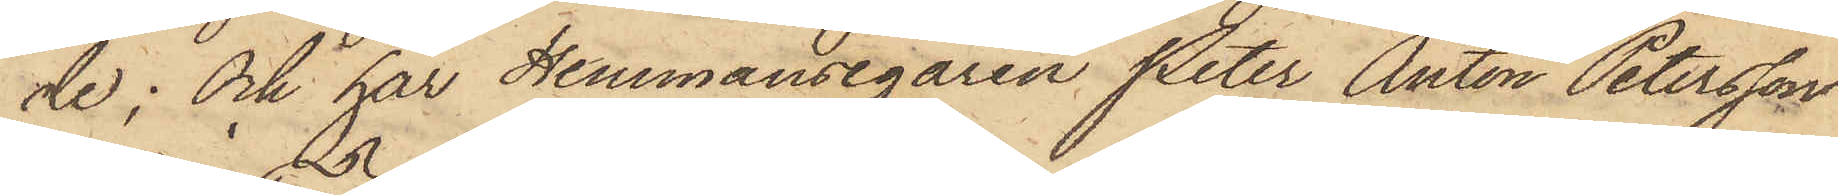de; och har Hemmansegaren Peter Anton Petersson
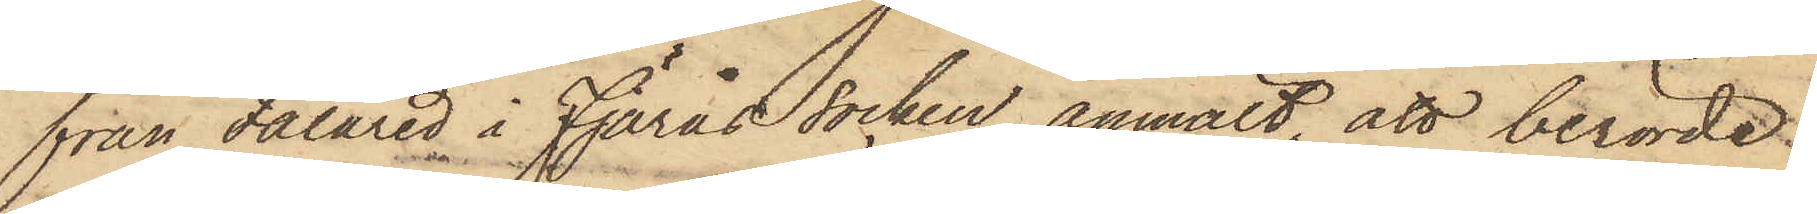från Fälared i Fjärås Socken anmält, att berörde
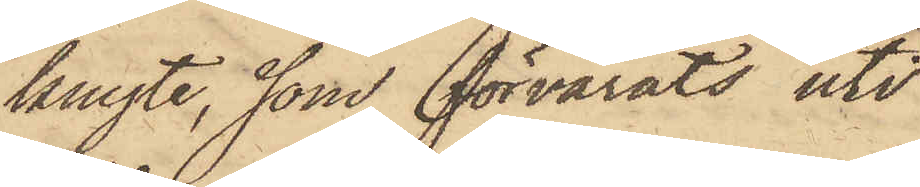knyte, som förvarats uti
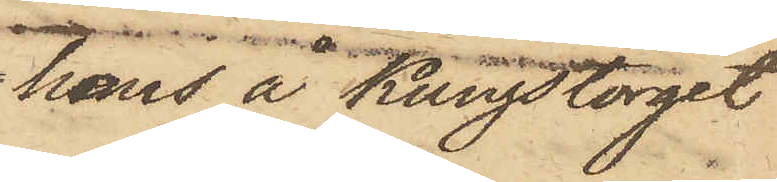hans å Kungstorget
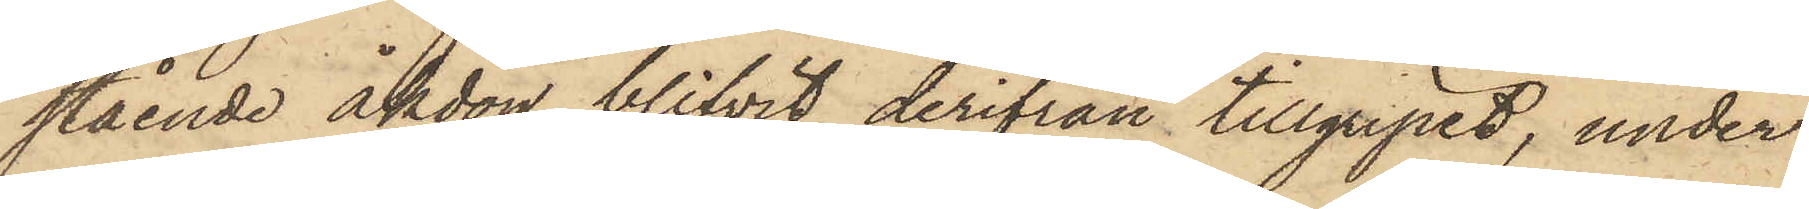stående åkdon blifvit derifrån tillgripit, under
